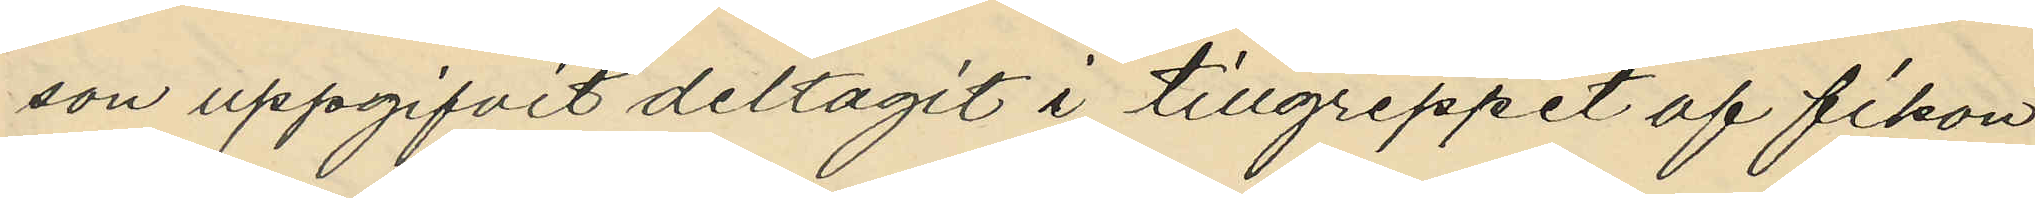son uppgifvit deltagit i tillgreppet af fikon
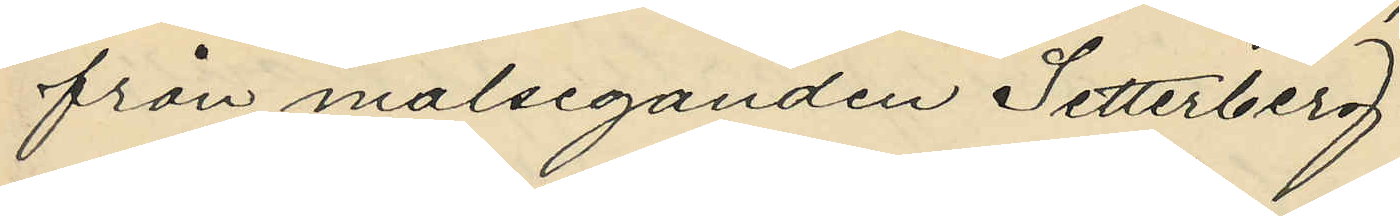från målseganden Setterberg.
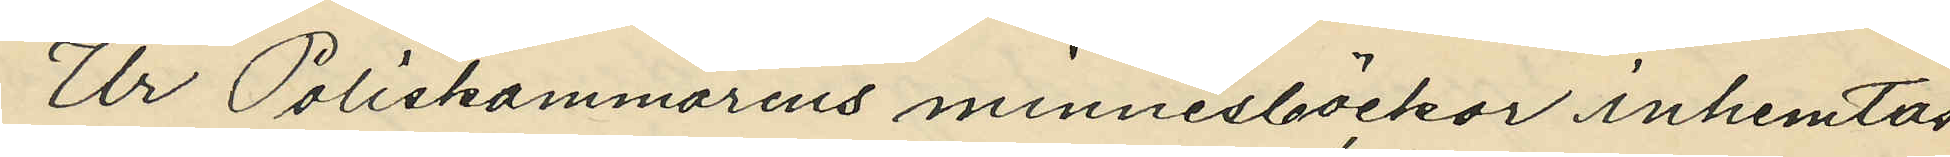Ur Poliskammarens minnesböckor inhemtas
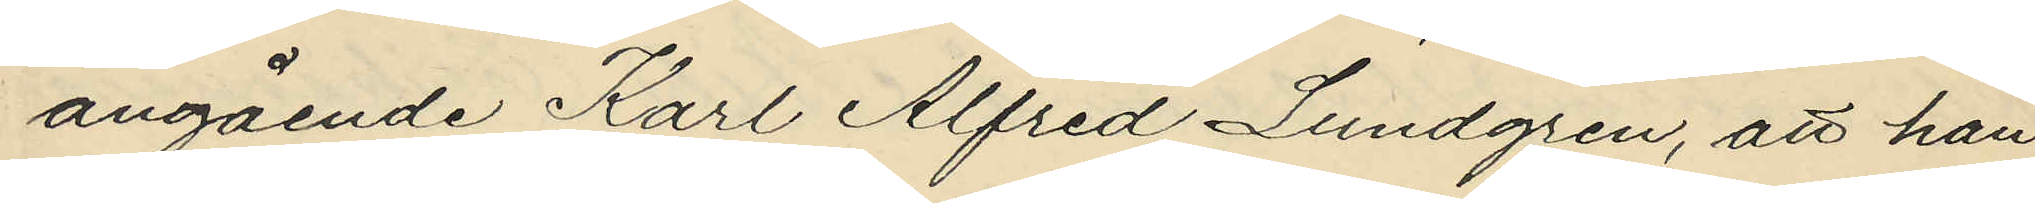angående Karl Alfred Lundgren, att han
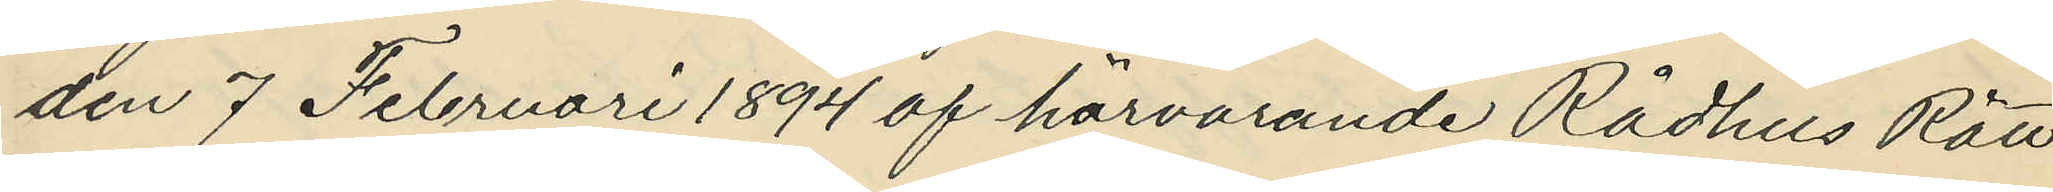den 7 Februari 1894 af härvarande Rådhus Rätt
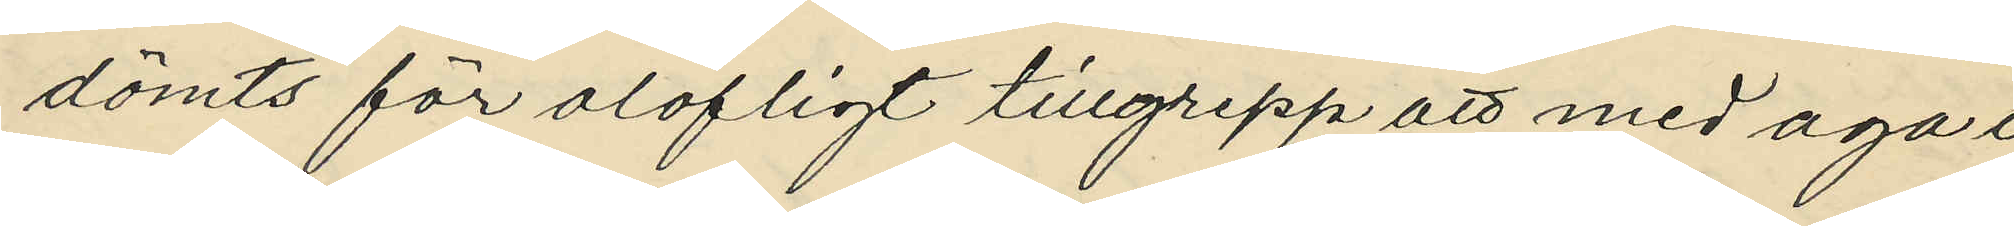dömts för olofligt tillgrepp att med aga i 
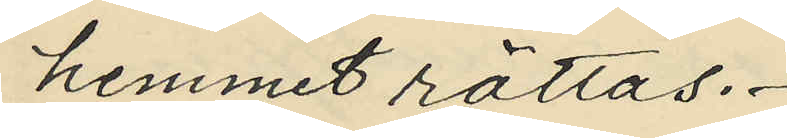hemmet rättas.
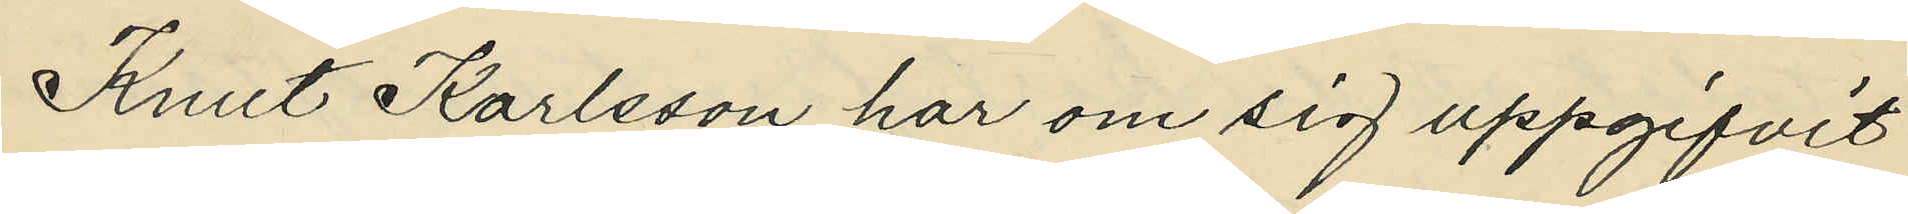Knut Karlsson har om sig uppgifvit
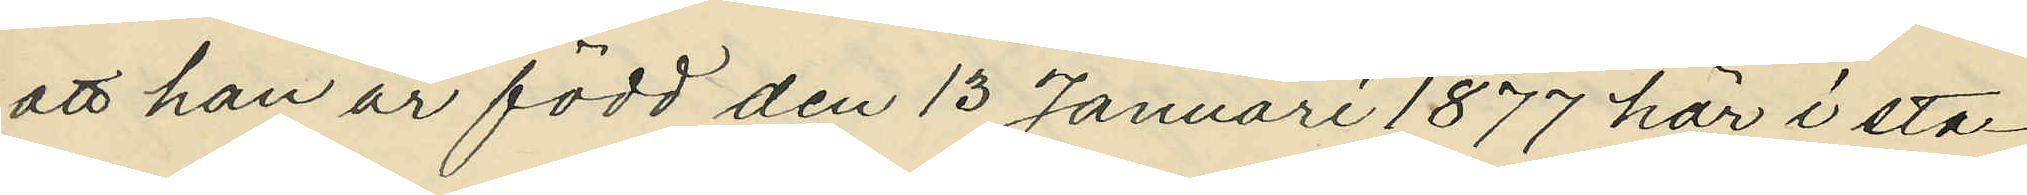att han är född den 13 Januari 1877 här i sta¬
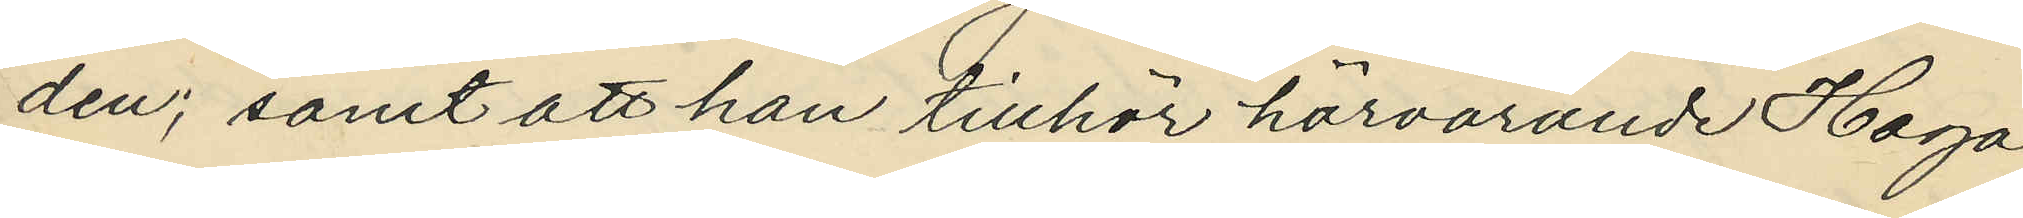den; samt att han tillhör härvarande Haga
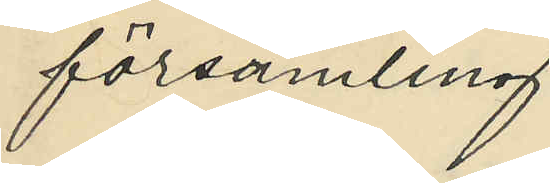församling.
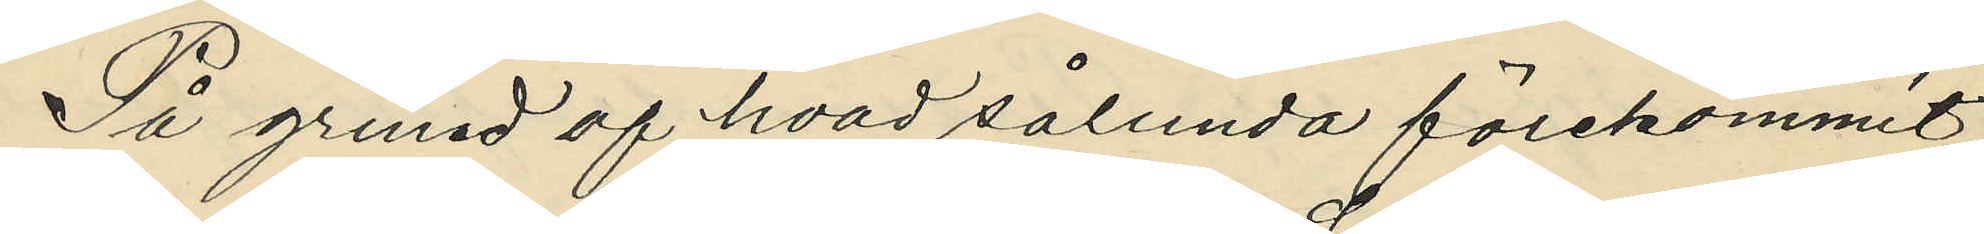På grund af hvad sålunda förekommit,
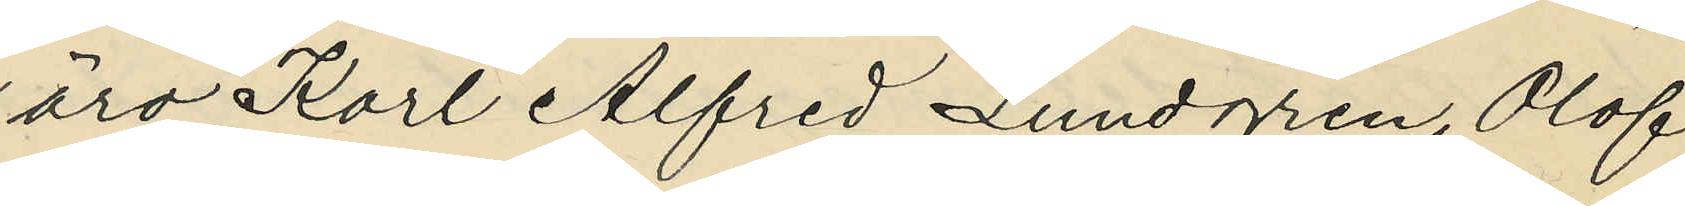äro Karl Alfred Lundgren, Olof
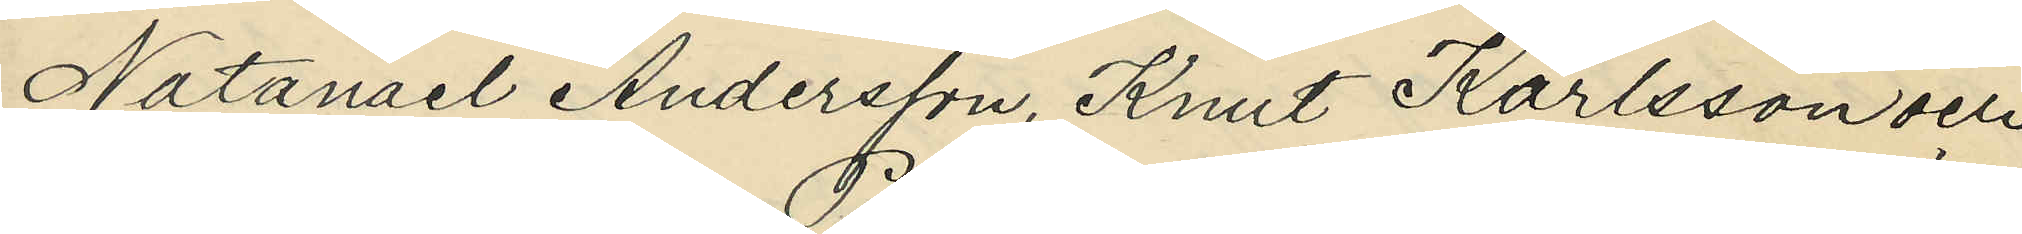Natanael Andersson, Knut Karlsson och
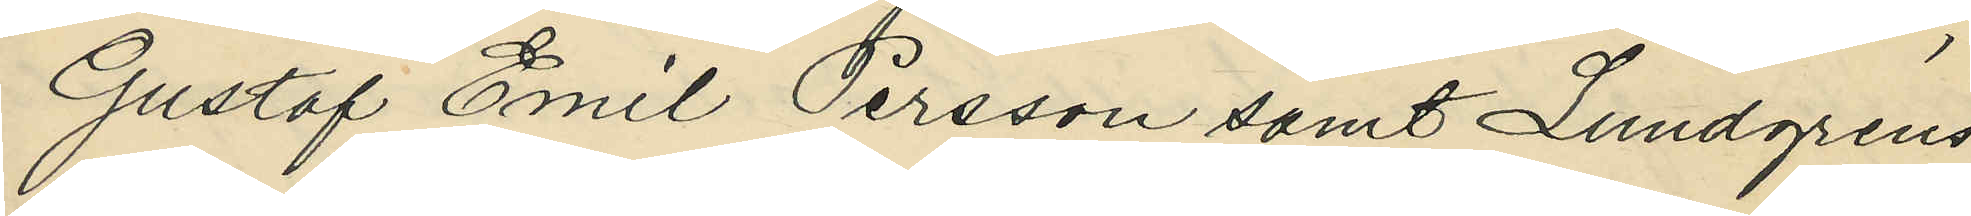Gustaf Emil Persson samt Lundgrens
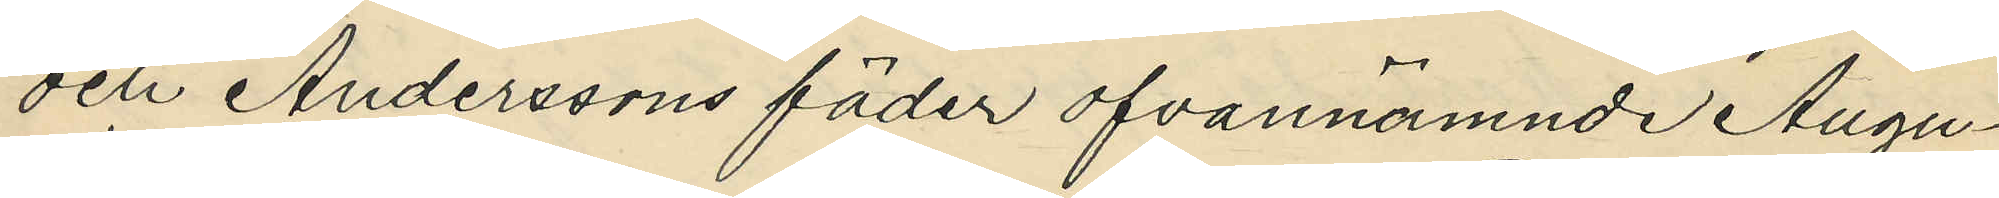och Anderssons fäder ofvannämnde Augu¬
